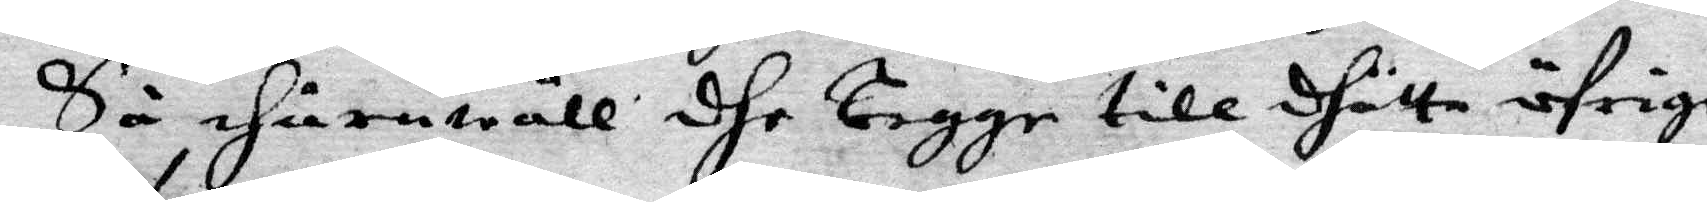Så ehuruwäll dhe Tigge till dhätta öfrige
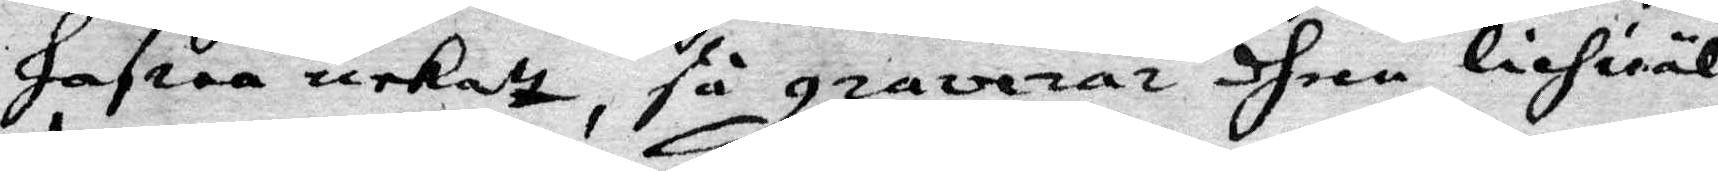hafwa nekatt, så graverar dhem lichwäl
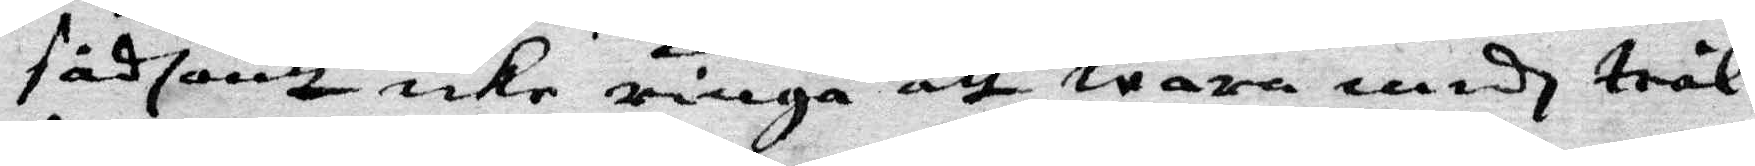sådantt icke ringa att wara medh trål¬
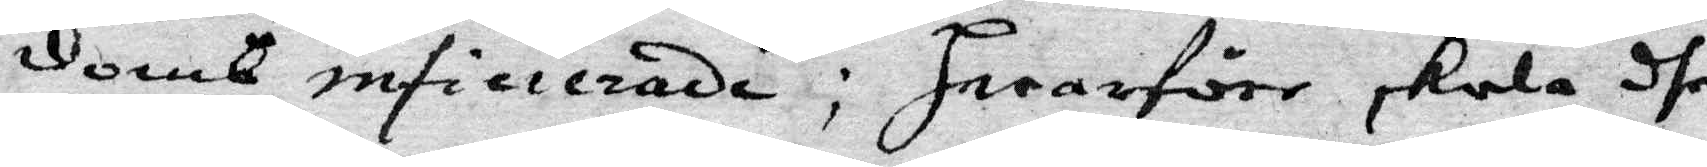domb inficierade; Hwarföre skola dhe
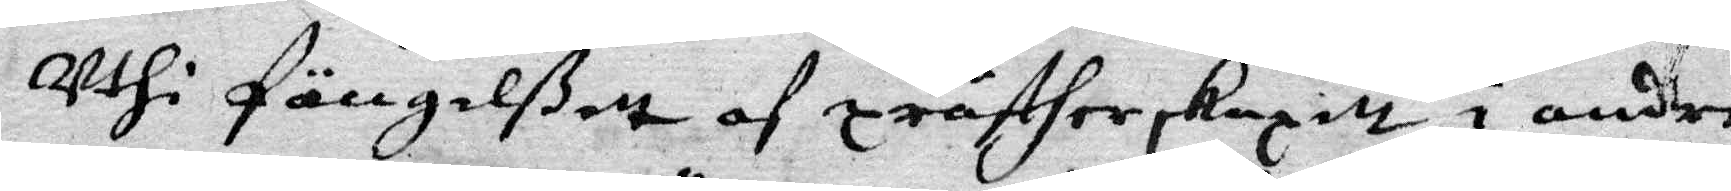Uthi Fängelßett af prästerskapett, i andre
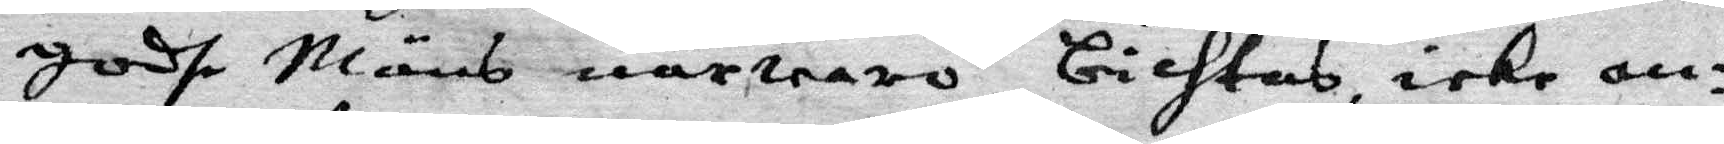godhe Mäns närwaro, bichtas, icke an¬
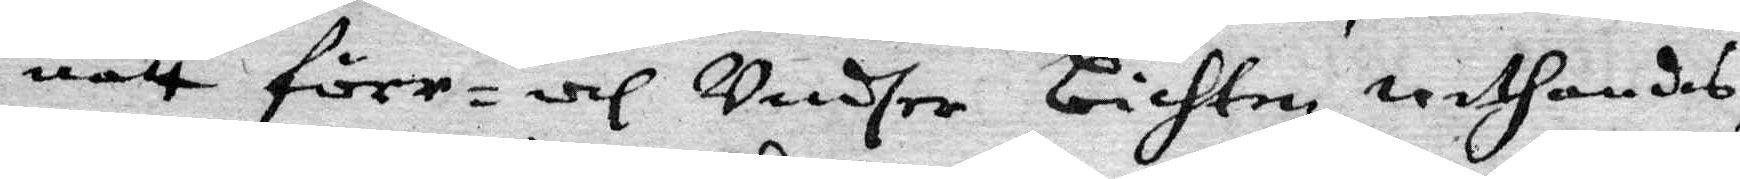natt förr- och Undher bichten, withandes,
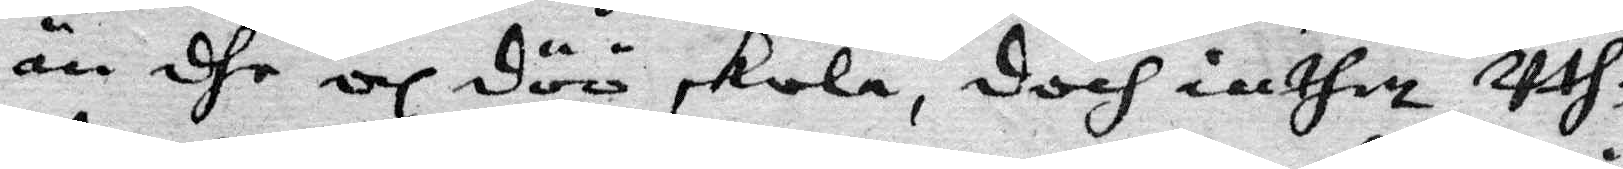än dhe och döö skola, doch inthett Uth¬
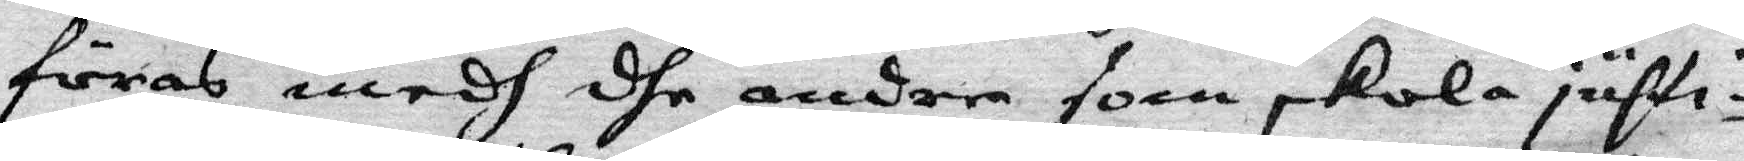föras medh dhe andra som skola justi¬
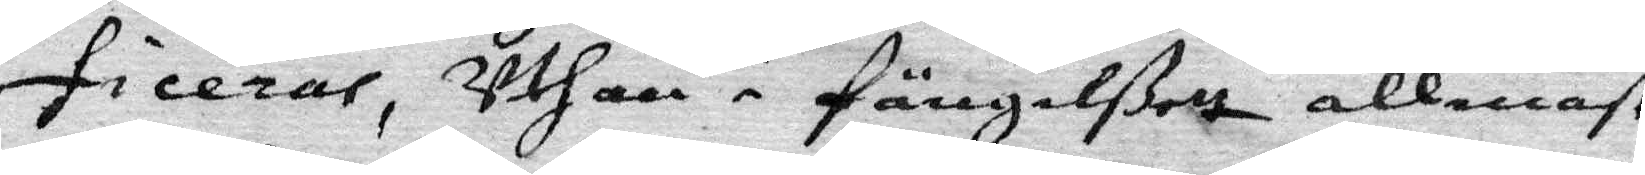ficerar, Uthan i Fängelßett allenast
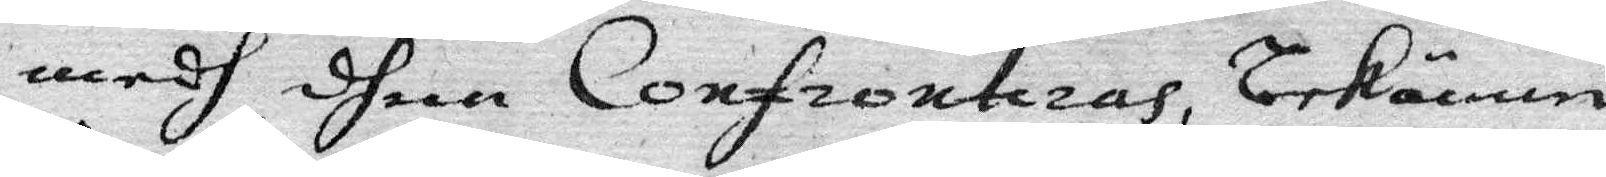medh dhem Confronteras, bekänna
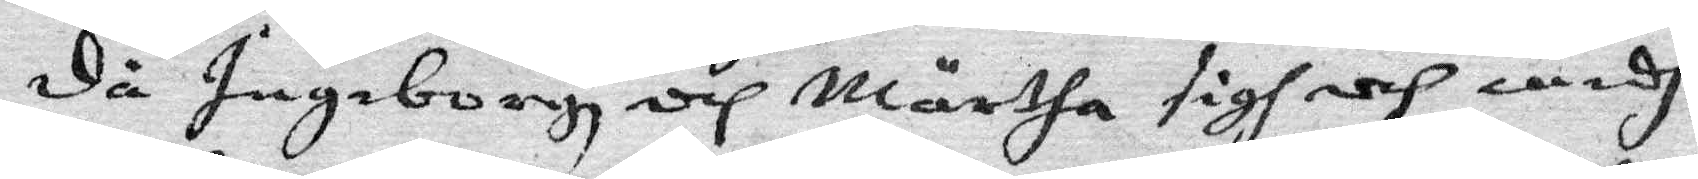då Ingeborgh och Märtha sigh och medh
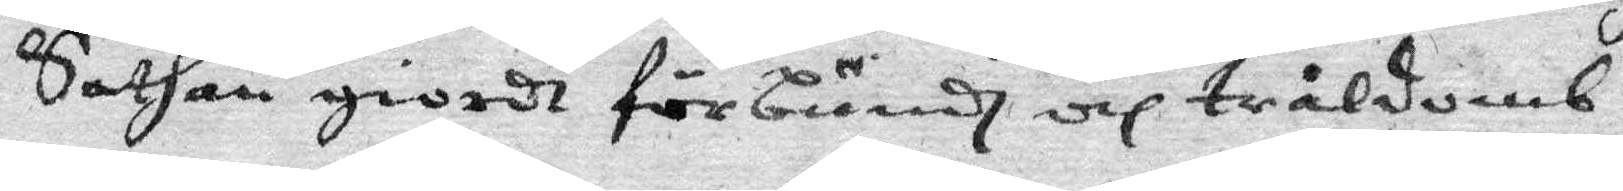Sathan giodt förbundh och tråldomb
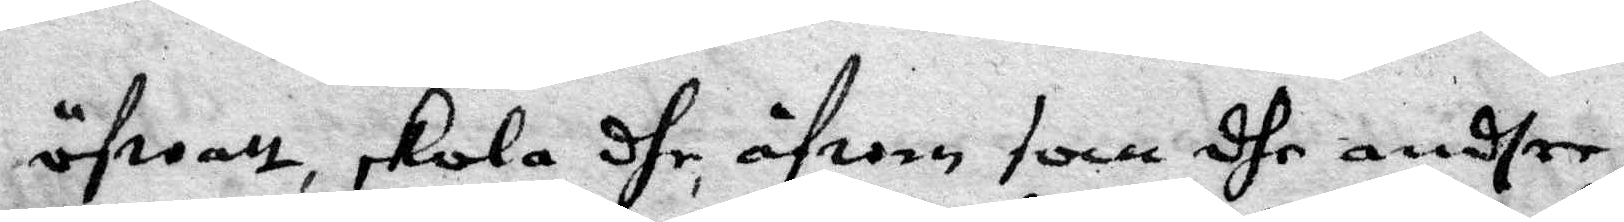öfwatt skola dhe åfwen som dhe andre
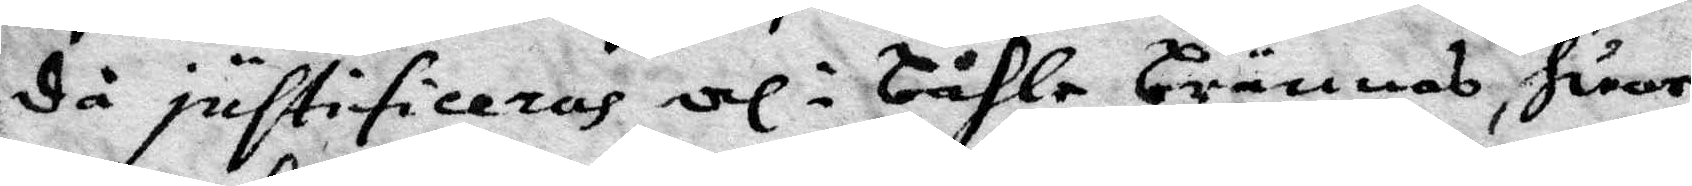då justifideras och i båhle brännas huar
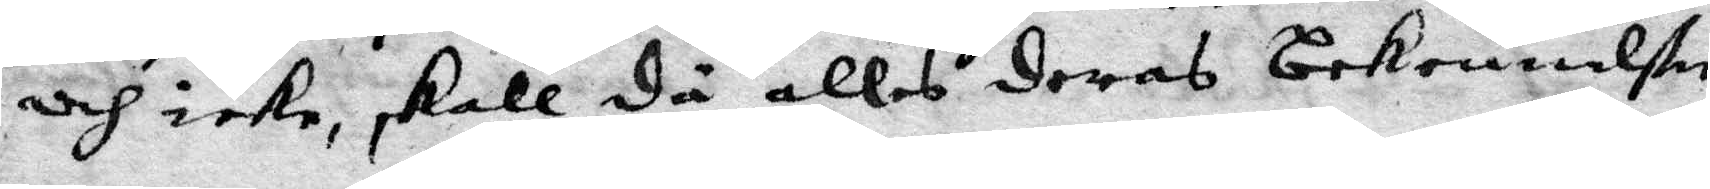och icke skall då allas deras bekennelser
